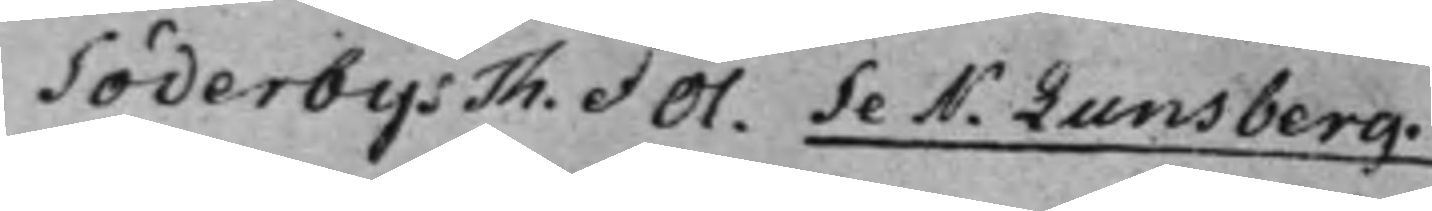Söderbys Th. et Ol. Se N. Lunsberg.
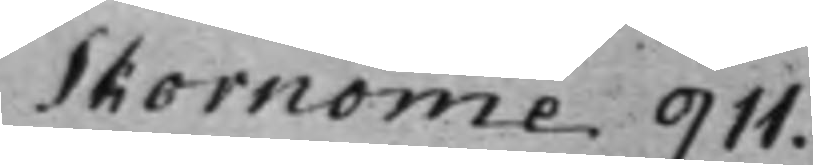Skornome 911.
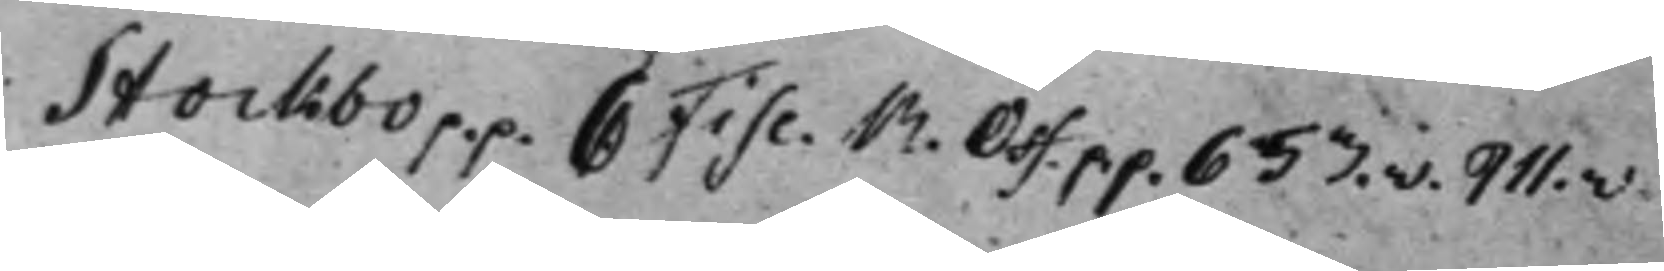Stockbo p.p. C Fisc. R. Off. p.p. 653.v. 911.v.
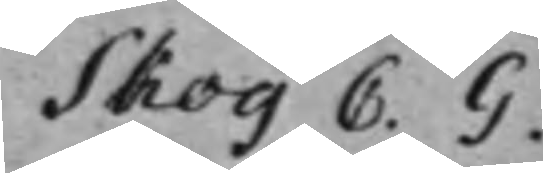Skog C. G.
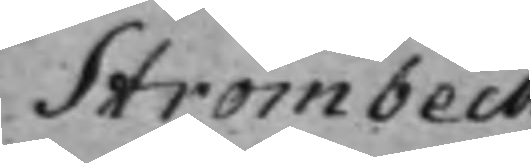Strömbeck
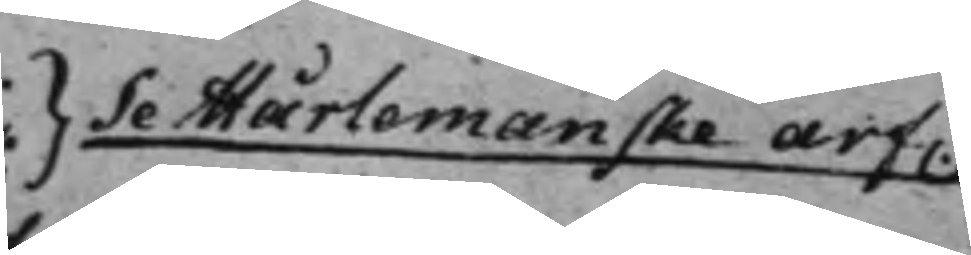} Se Mårlemanske arf.
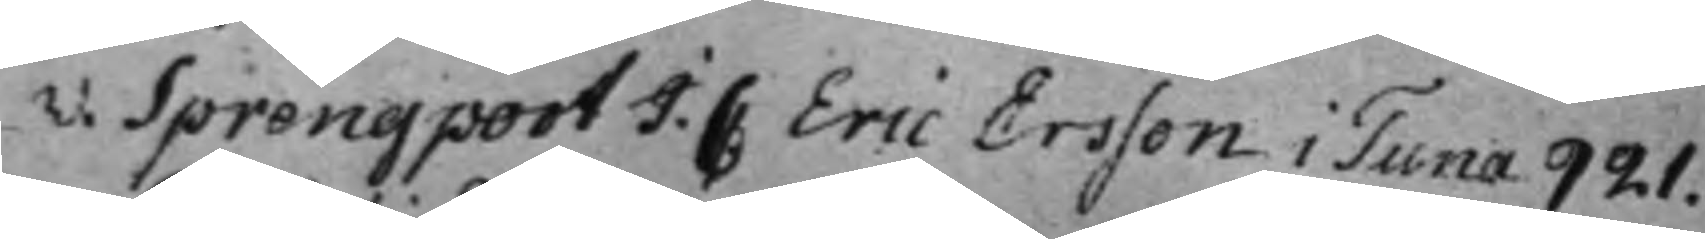v. Sprengport J. C Eric Ersson i Tuna 921.
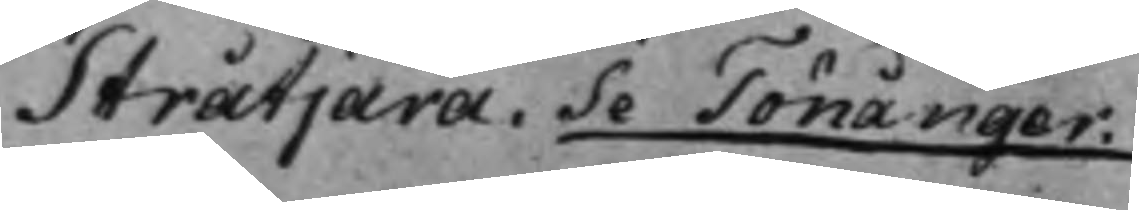Stråtjära. Se Tönånger.
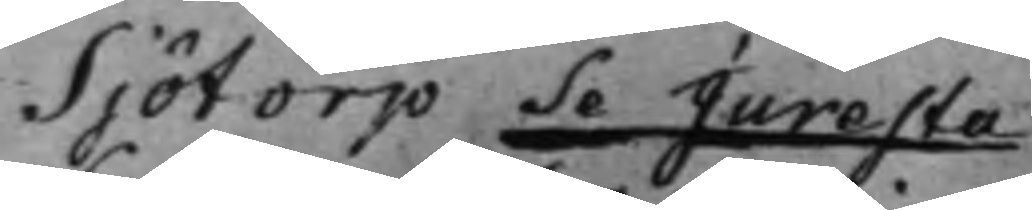Sjötorp Se Juresta
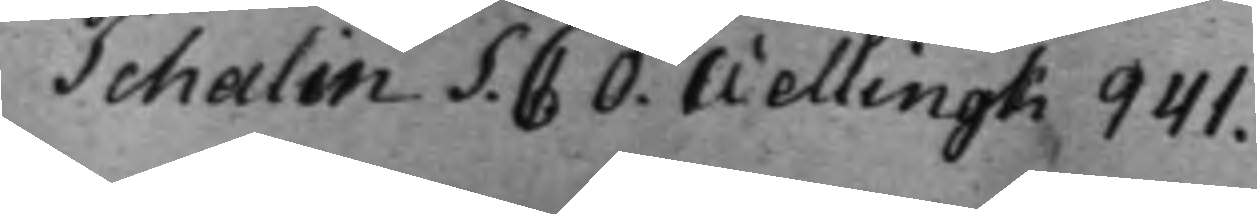Schalin S. C O. Wellingk 941.
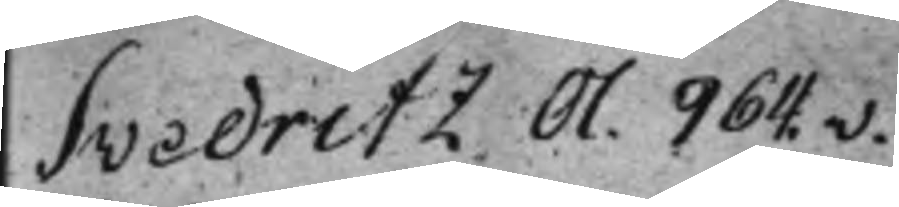Svedritz Ol. 964.v.
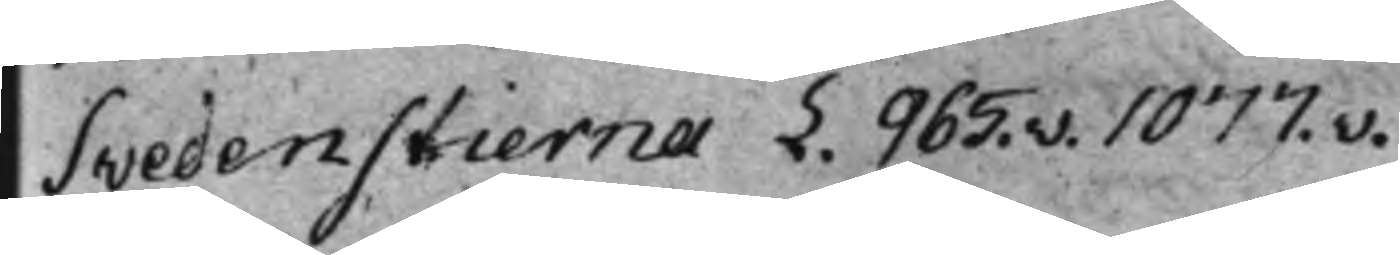Svedenstierna L. 965.v. 1077.v.
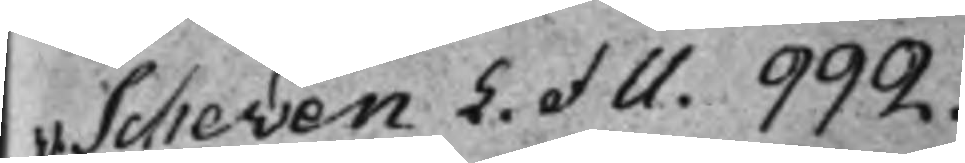v. Scheven L. et U. 992.
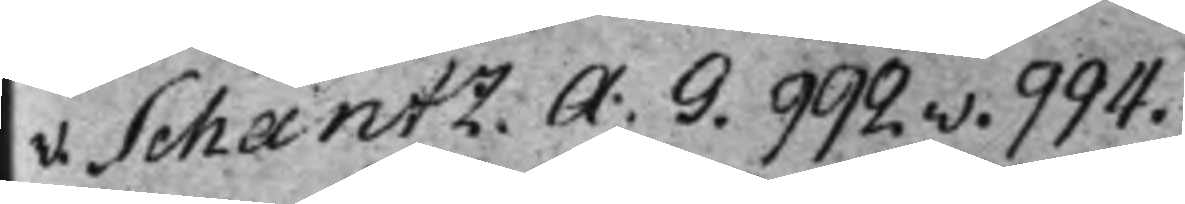v. Schantz. A. G. 992.v. 994.
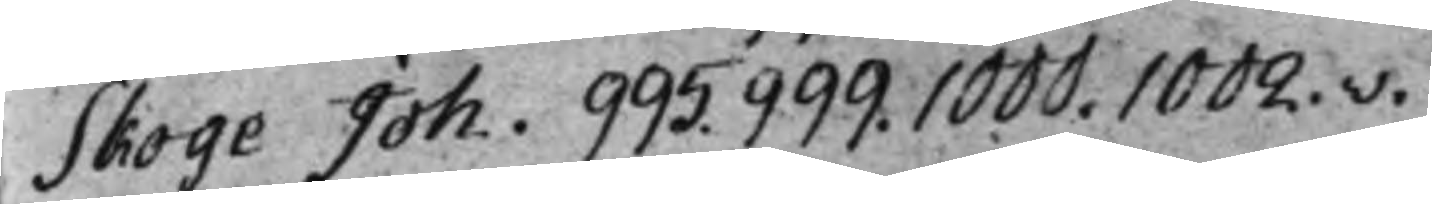Skoge Joh. 995. 999. 1000. 1002.v.
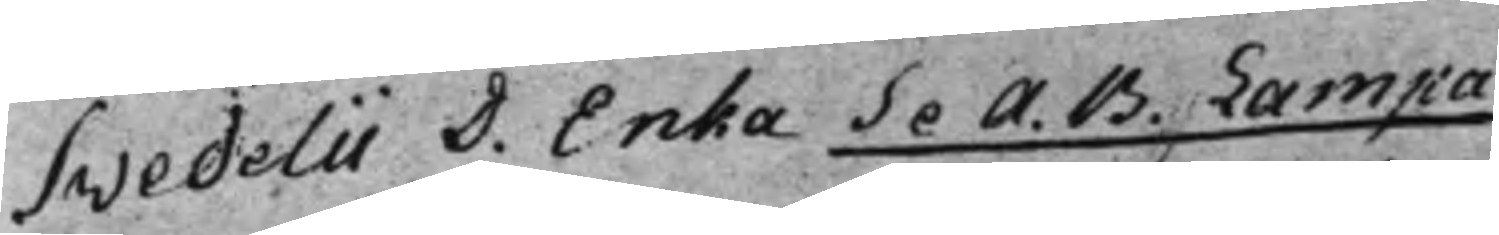Svedelii D. Enka Se A. B. Lampa
